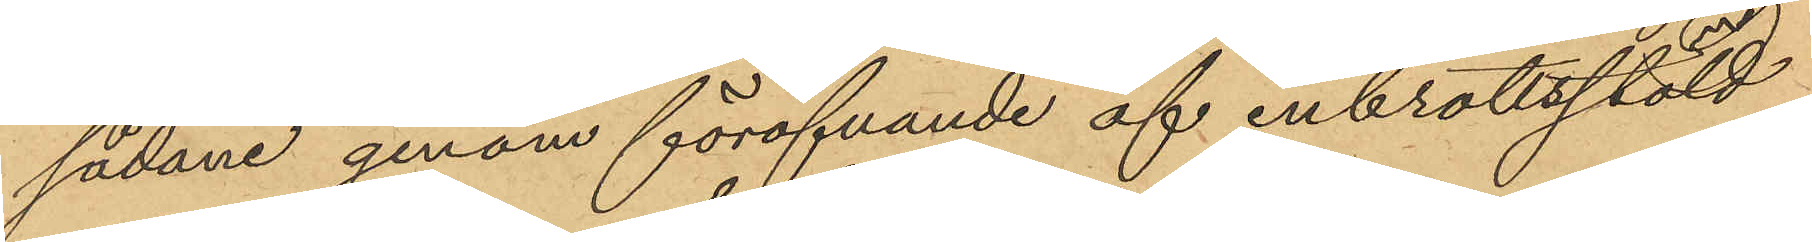sådane genom föröfvande af inbrottsstöld
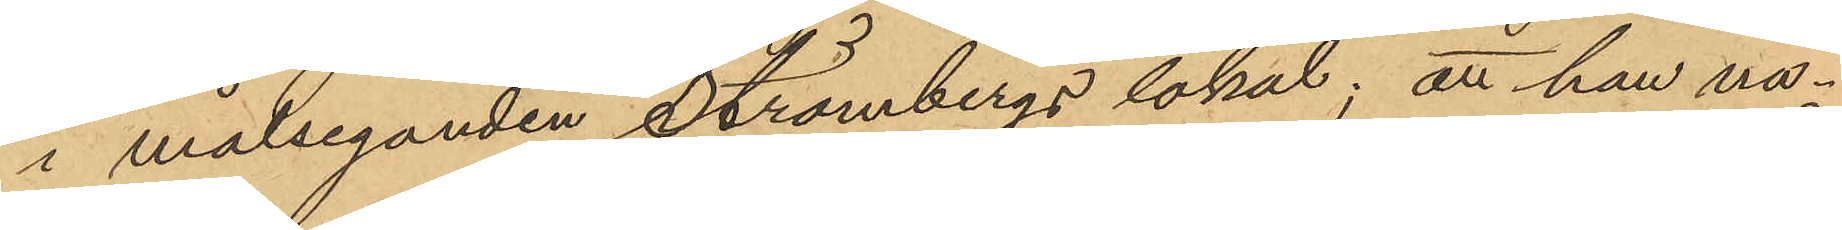i målseganden Strömbergs lokal; att han nå¬
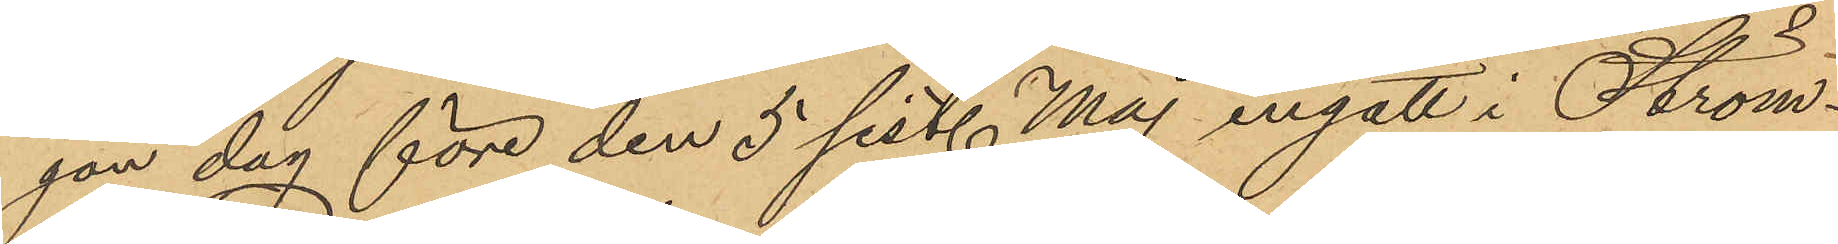son dag före den 5 sist. Maj ingått i Ström¬
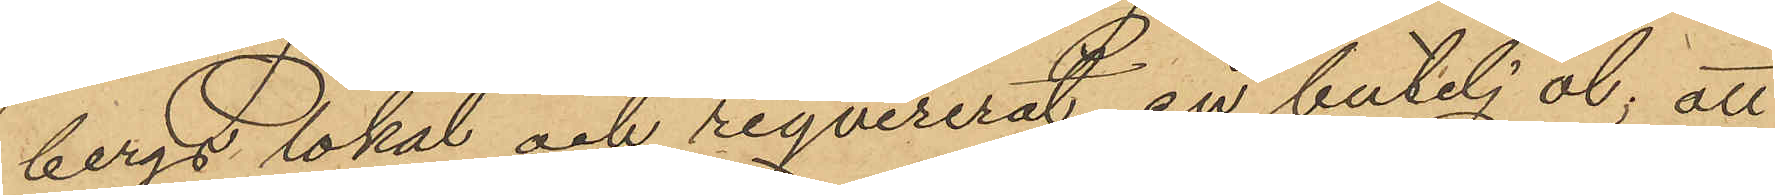bergs lokal och reqvirerat en butelj öl; att
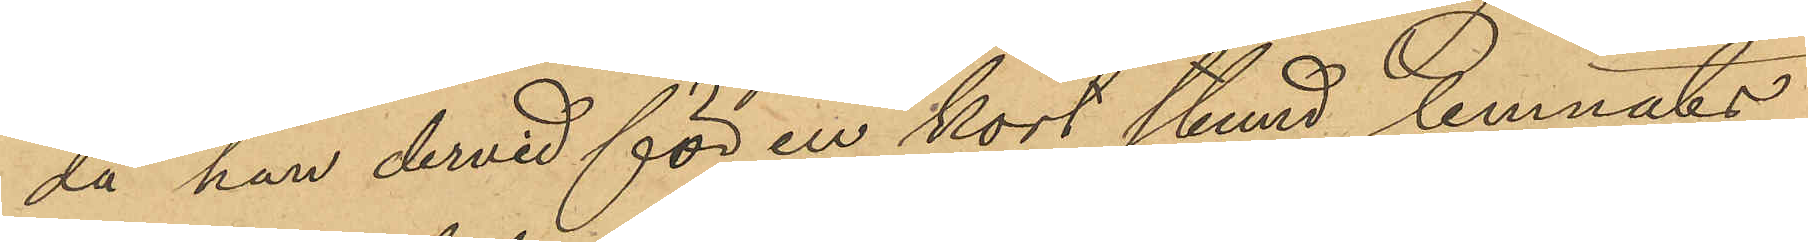då han dervid för en kort stund lemnats
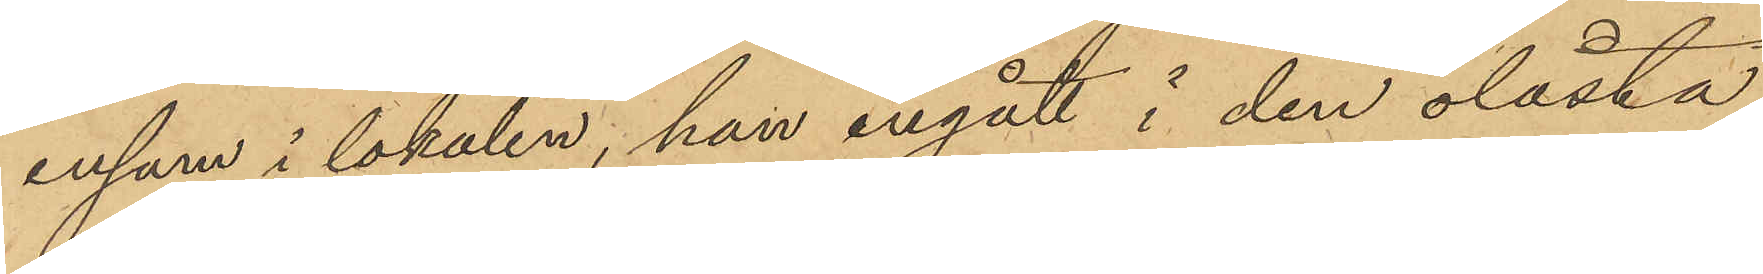ensam i lokalen, han ingått i den olåsta
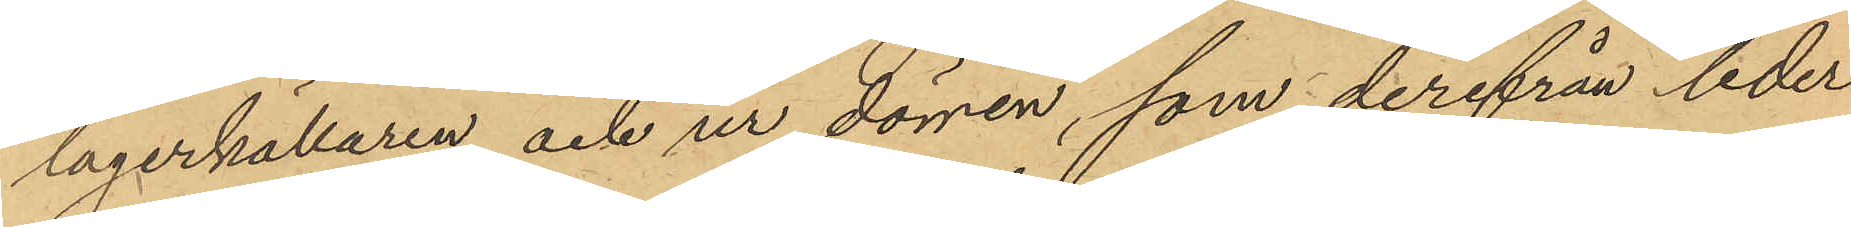lagerkällaren och ur dörren, som derifrån leder
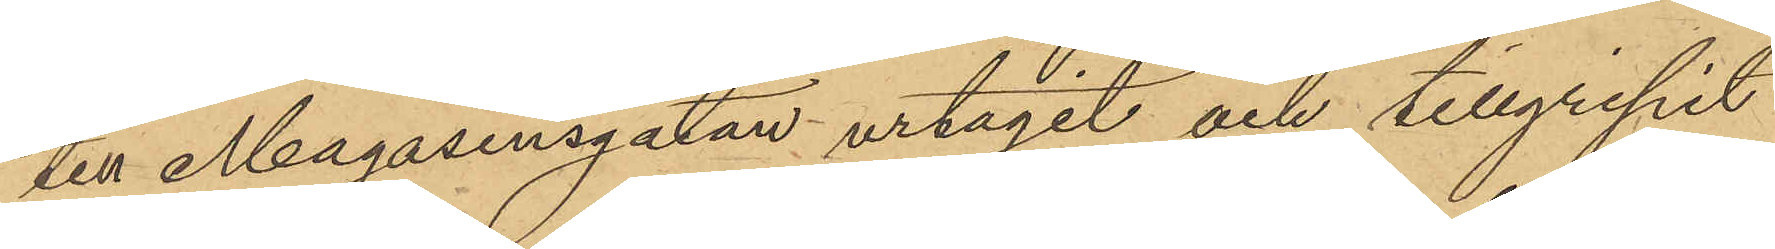till Magasinsgatan urtagit och tillgripit
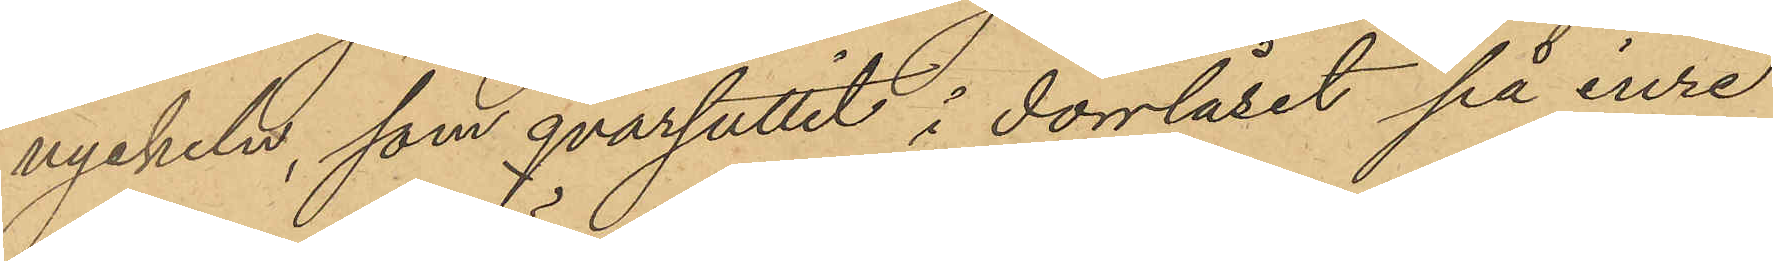nyckeln, som qvarsuttit i dörrlåset på inre
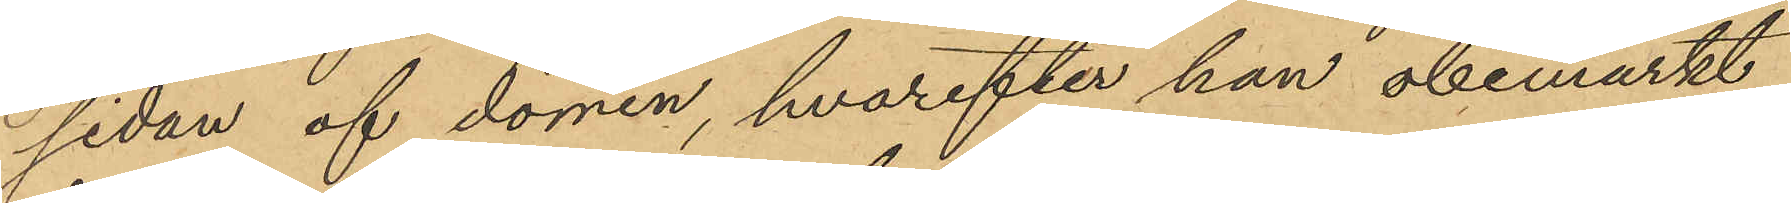sidan af dörren, hvarefter han obemärkt
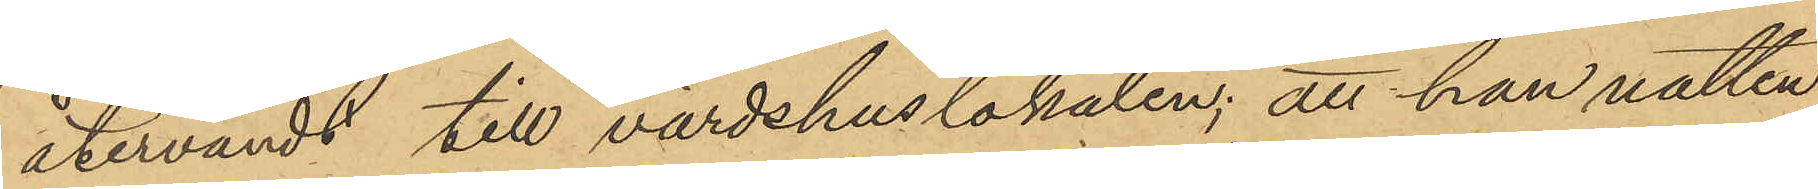återvändt till värdshuslokalen; att han natten
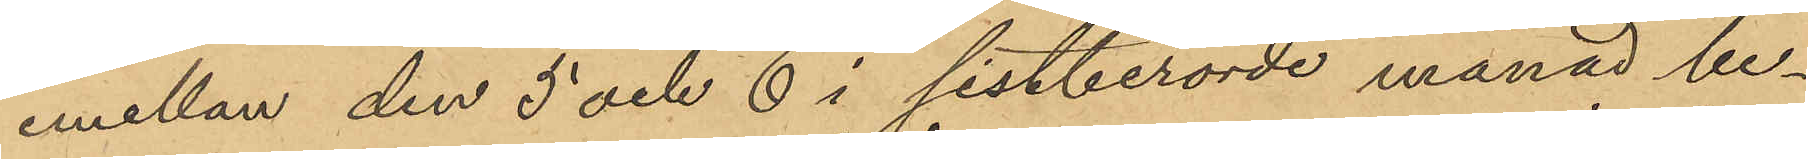emellan den 5 och 6 i sistberörde månad be¬
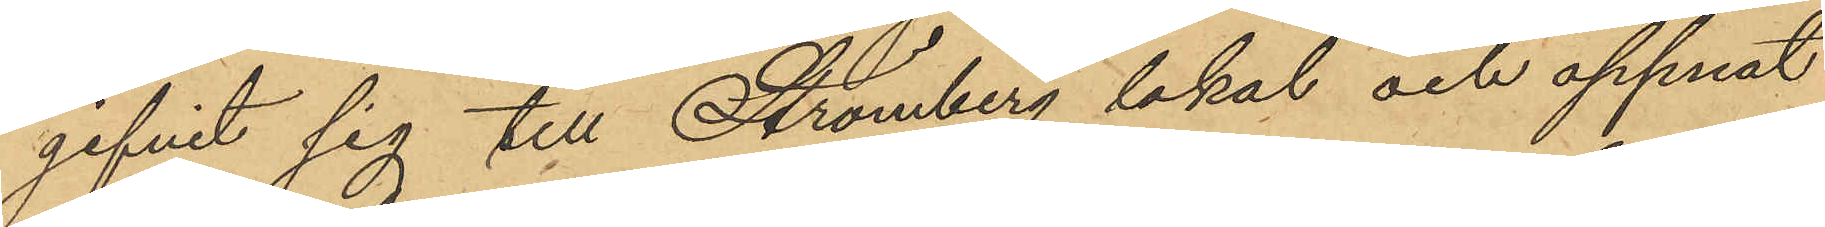gifvit sig till Strömberg lokal och öppnat
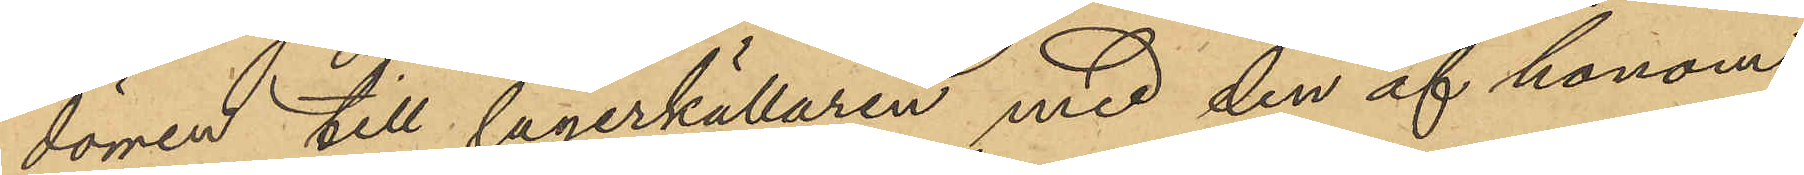dörren till lagerkällaren med den af honom
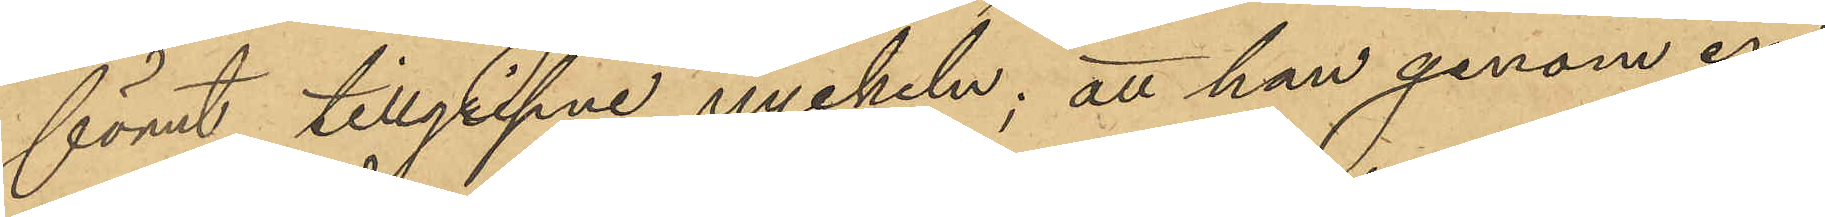förut tillgripne nyckeln; att han genom en
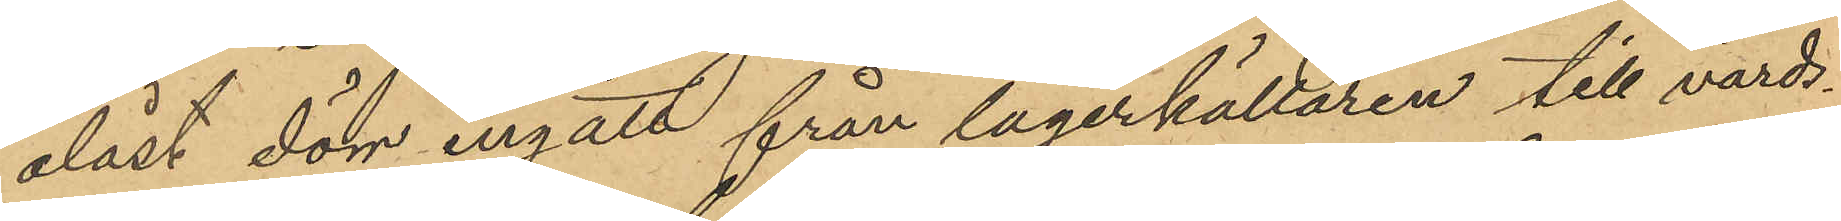olåst dörr ingått från lagerkällaren till värds¬
